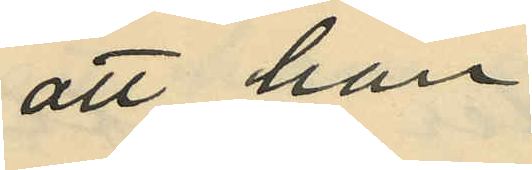att han
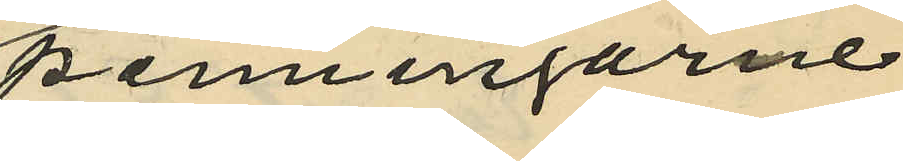penningarne
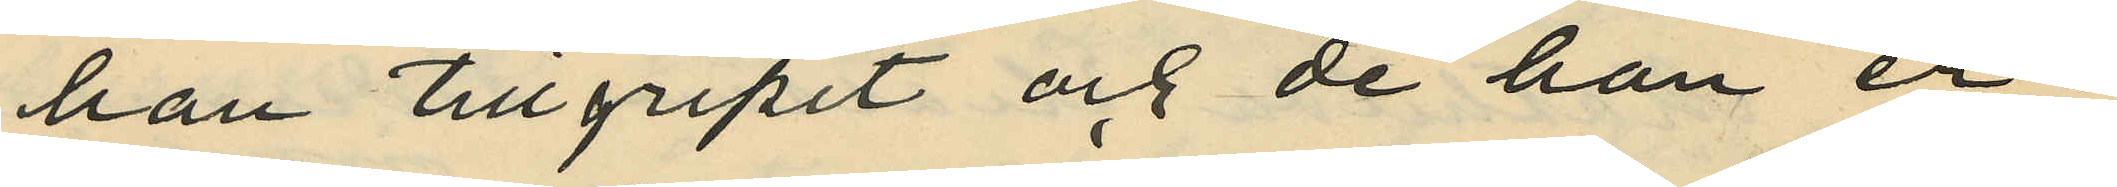han tillgripit och de han er¬
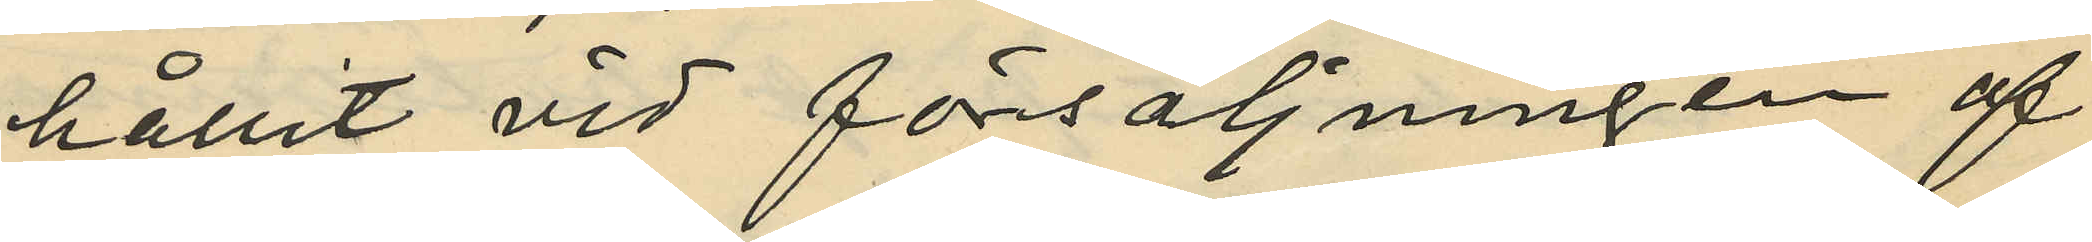hållit vid försäljningen af
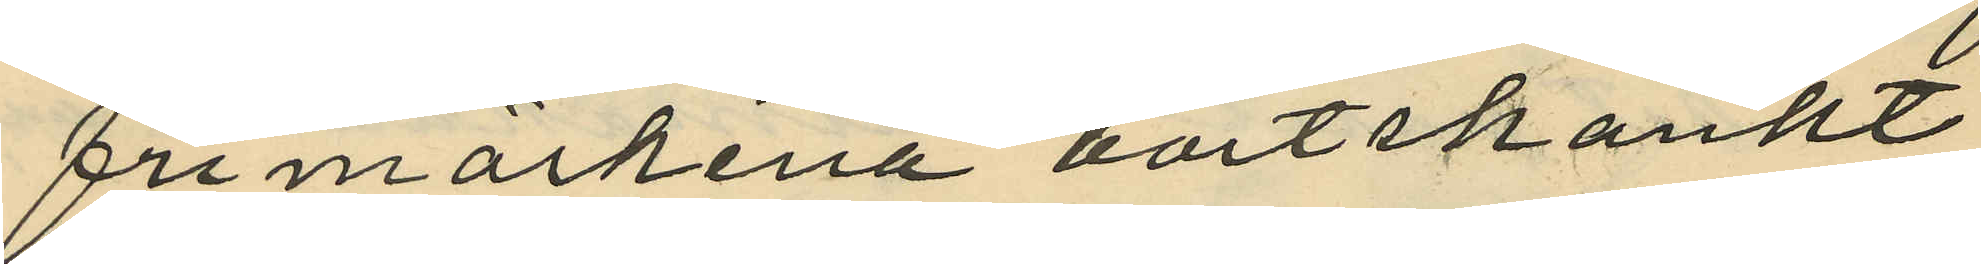frimärkena bortskänkt
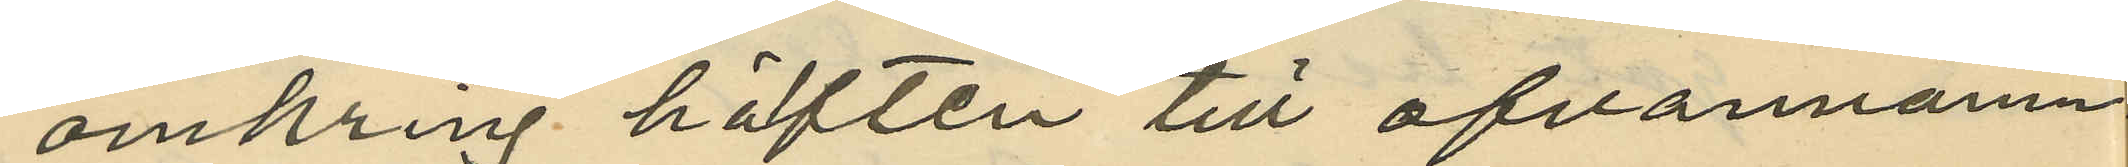omkring häften till ofvannämn¬
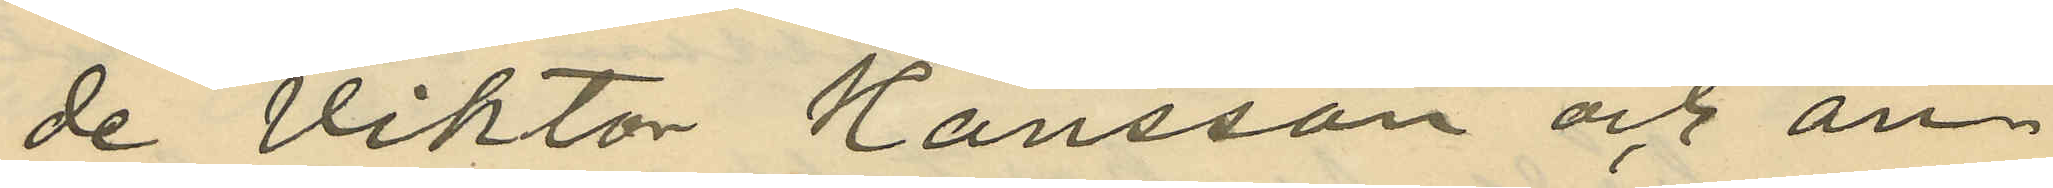de Viktor Hansson och an¬
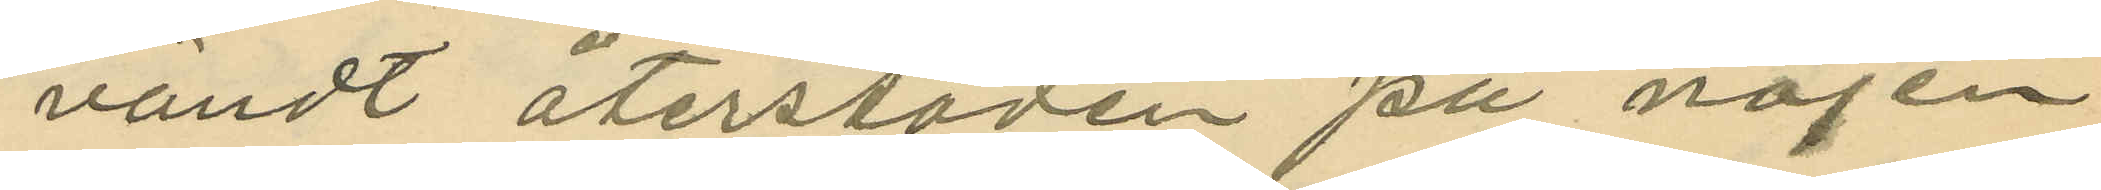vändt återstoden på nöjen.
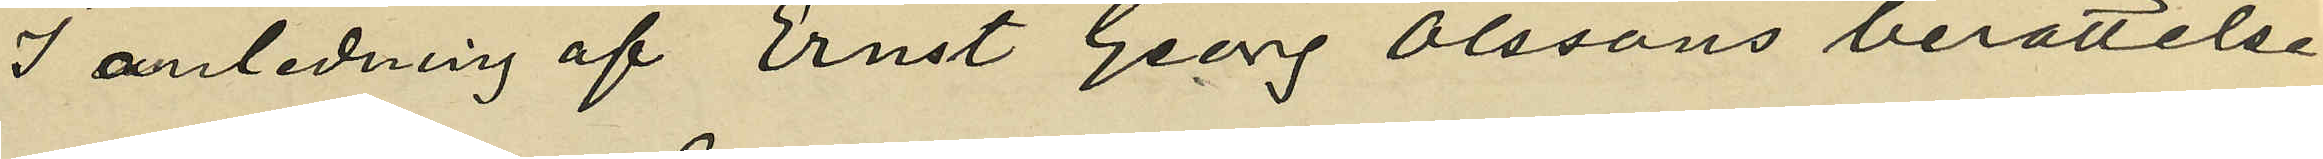I anledning af Ernst Georg Olssons berättelse
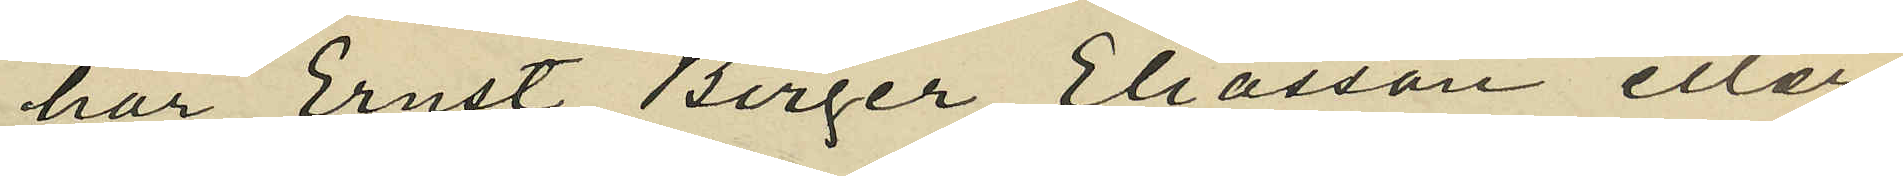har Ernst Birger Eliasson eller
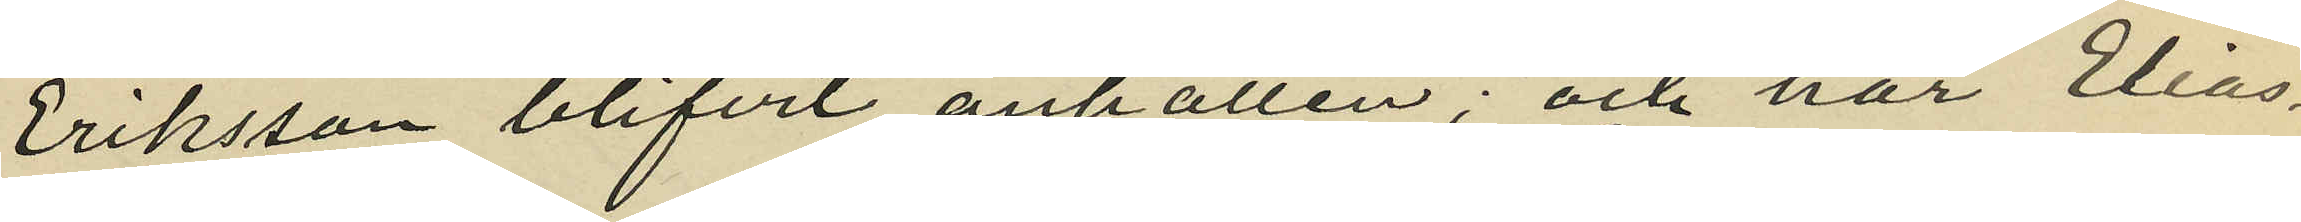Eriksson blifvit anhållen; och har Elias¬
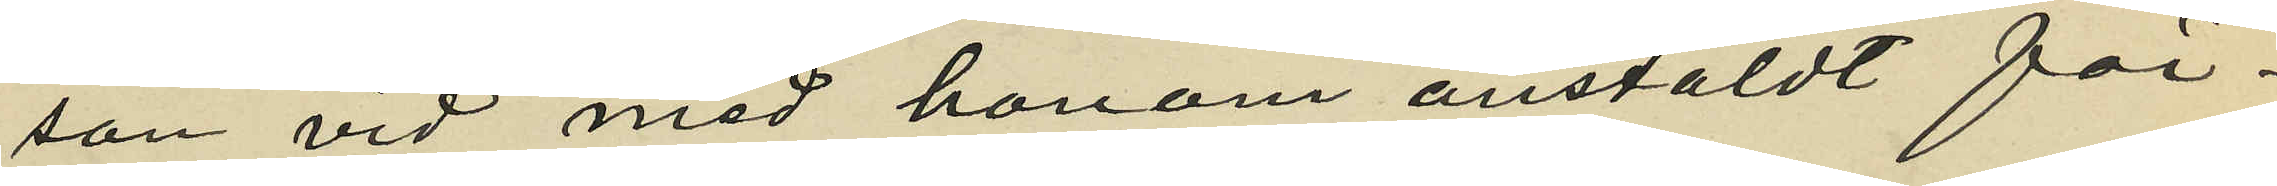son vid med honom anstäldt för¬
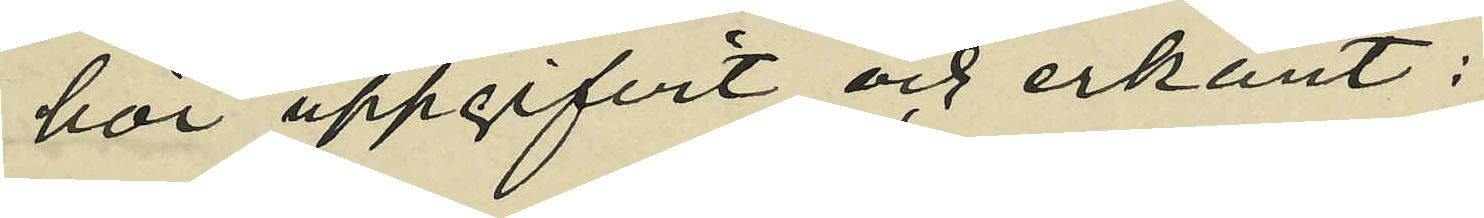hör uppgifvit och erkänt:
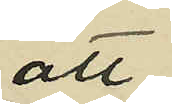att
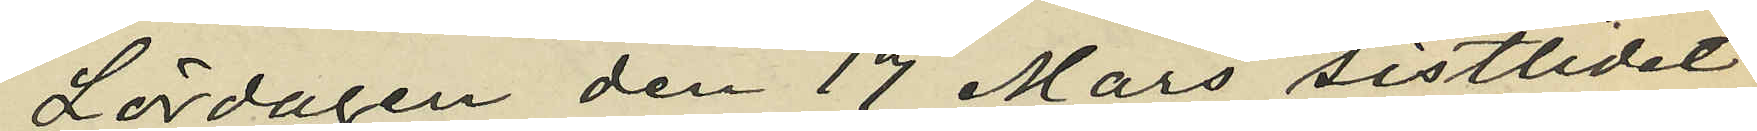Lördagen den 17 Mars sistlidet
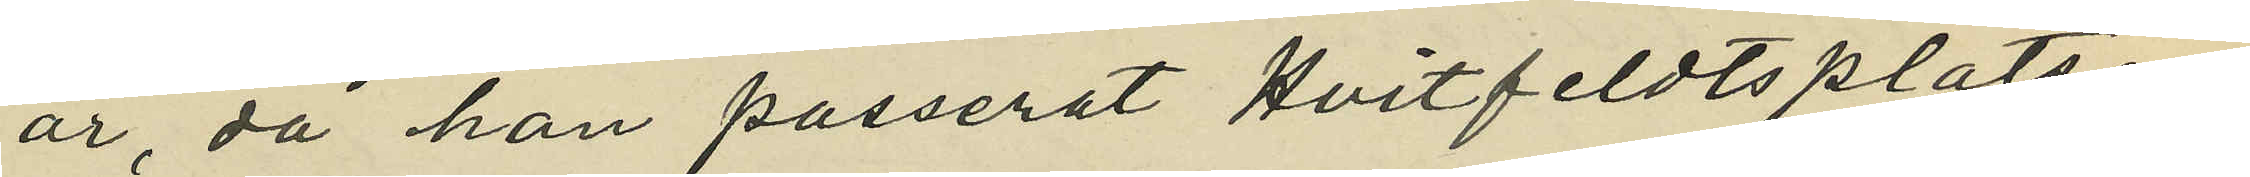år, då han passerat Hvitfeldtsplatsen
